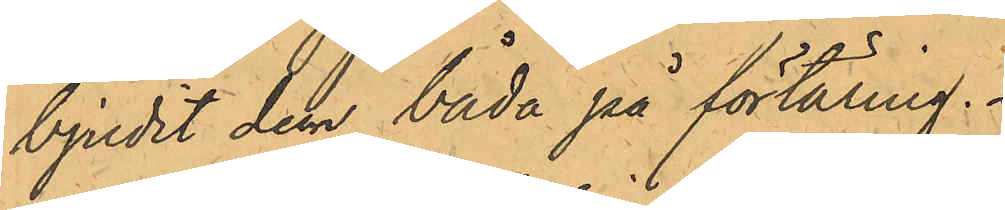bjudit den båda på förtäring.
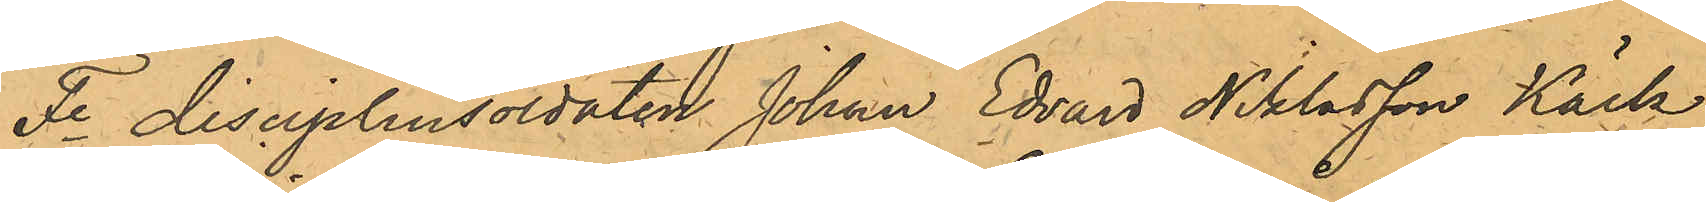Fe disciplinsoldaten Johan Edvard Niklasson Käck,
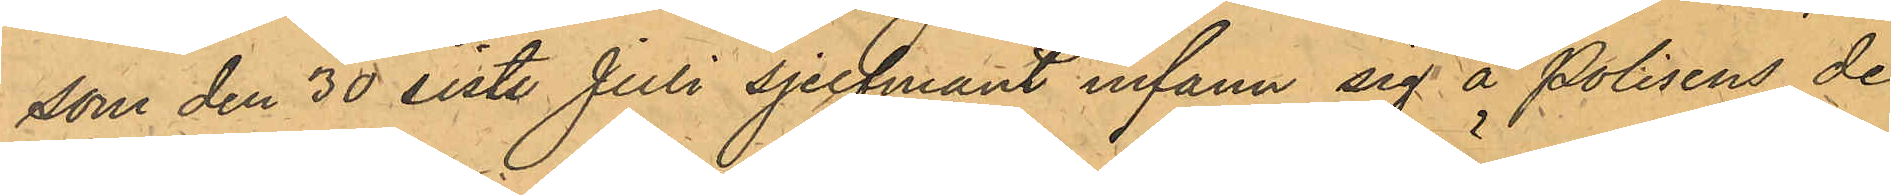som den 30 sist. Juli sjelfmant infann sig å Polisens de¬
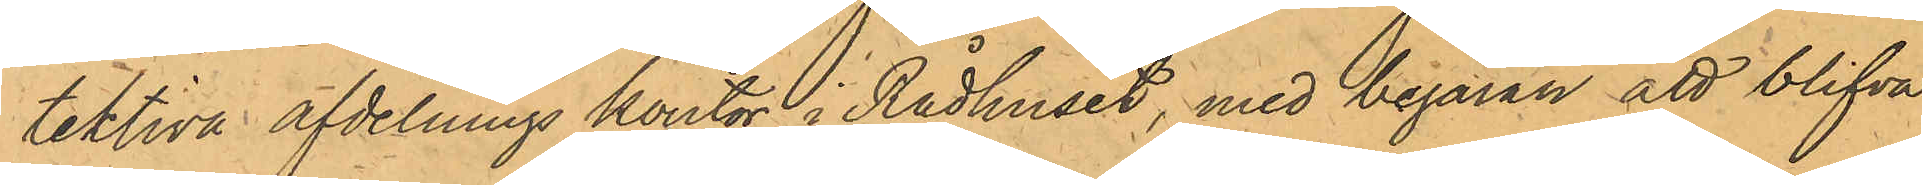tektiva afdelnings kontor i Rådhuset, med begäran att blifva
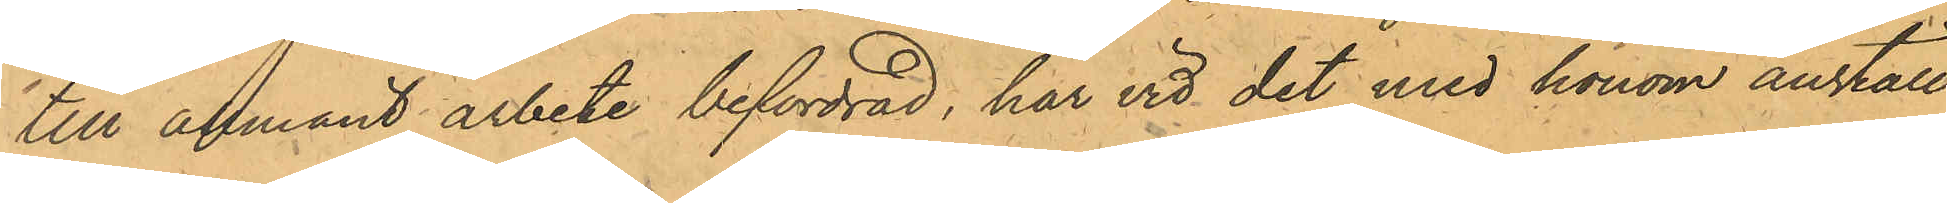till allmänt arbete befordrad, har vid det med honom anställ¬
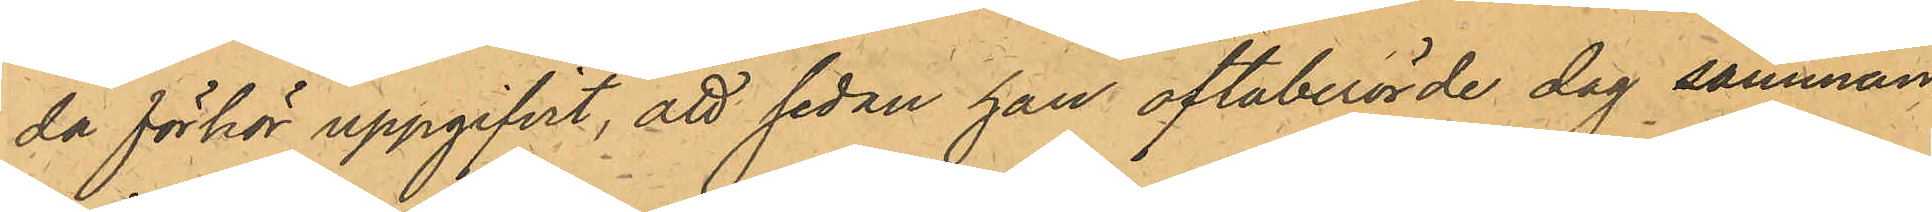da förhör uppgifvit, att sedan han oftaberörde dag samman¬
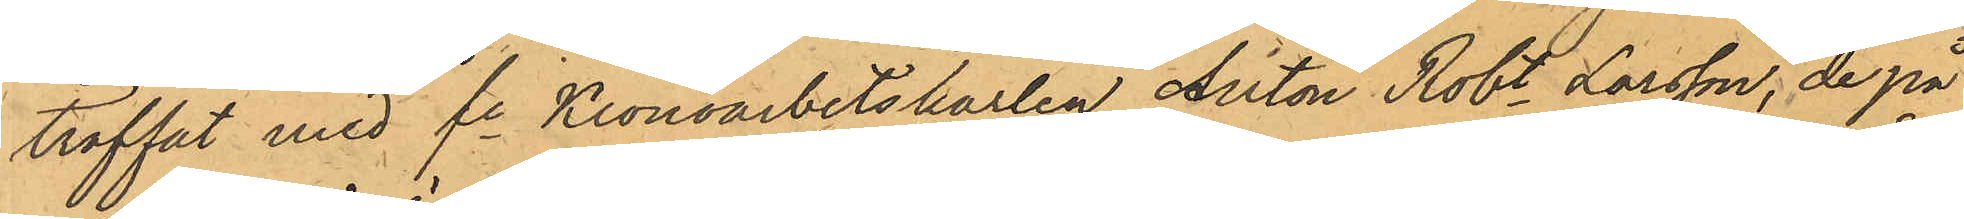träffat med fe Kronoarbetskarlen Anton Robt Larsson, de på
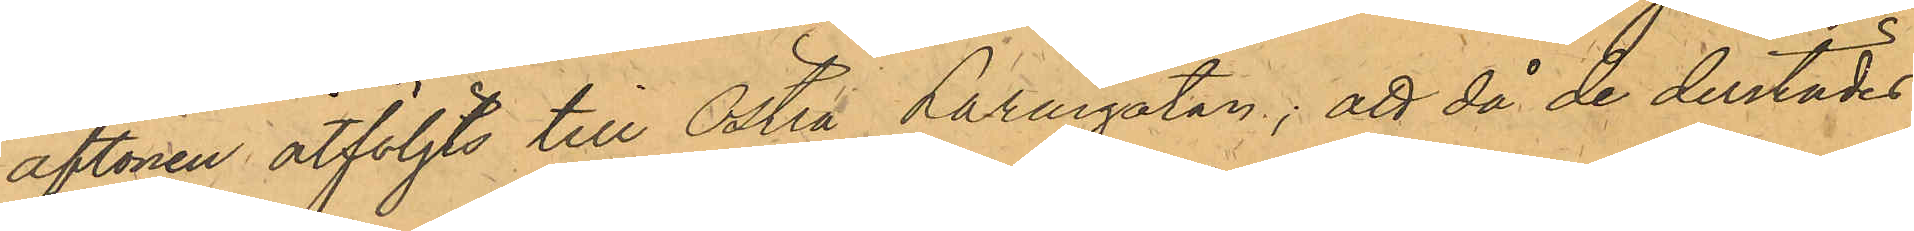aftonen åtföljts till Östra Larmgatan; att då de derstädes
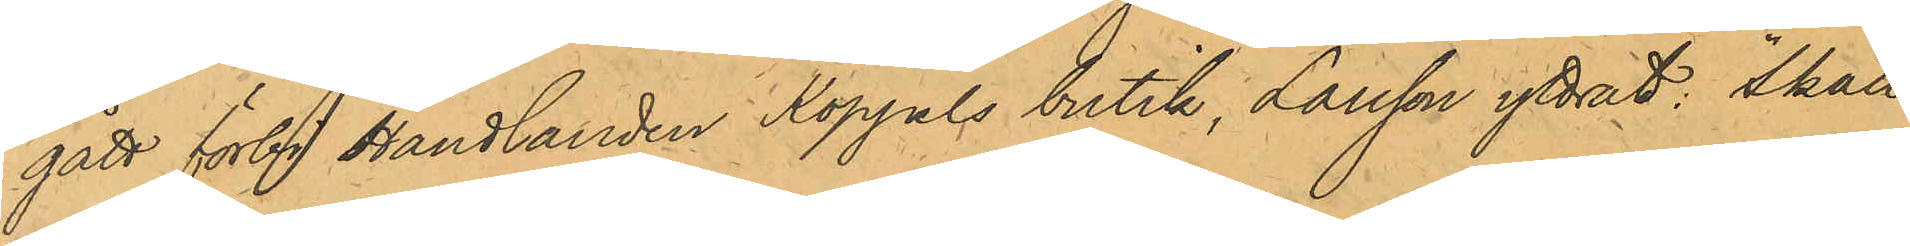gått förbi Handlanden Koppels butik, Larsson yttrat: "Skall
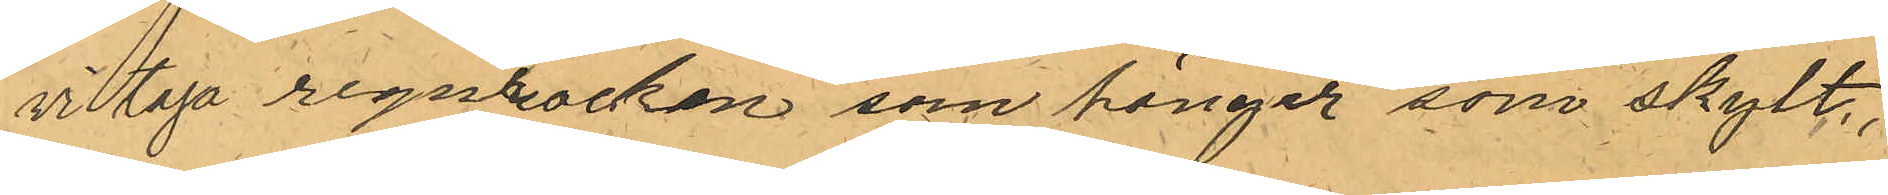vi taga regnrocken som hänger som skylt,
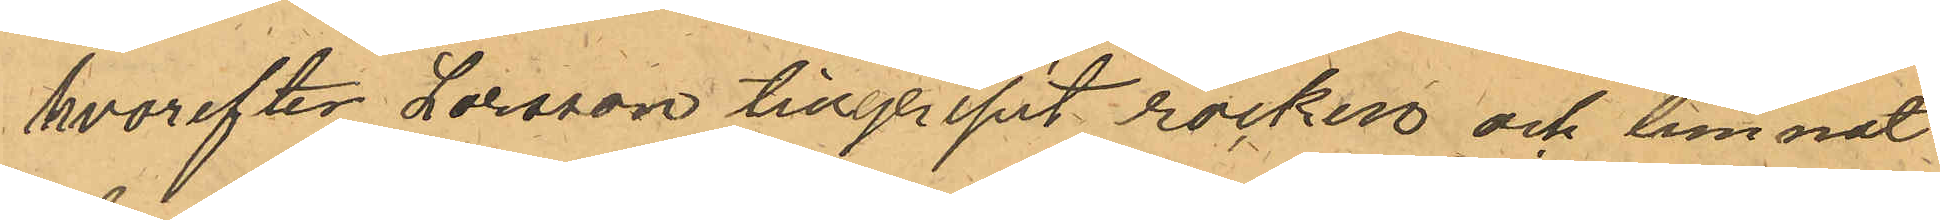hvarefter Larsson tillgripit rocken och lemnat
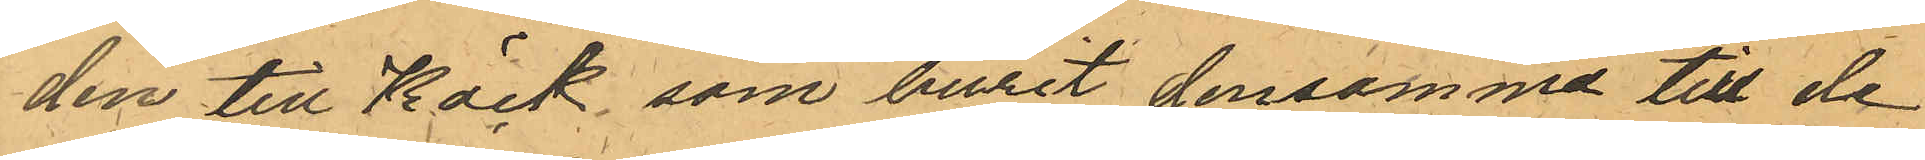den till Käck, som burit densamma till de
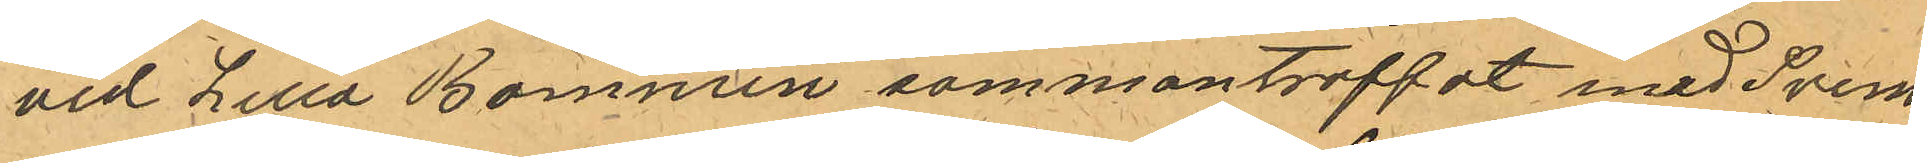vid Lilla Bommen sammanträffat med Svens¬
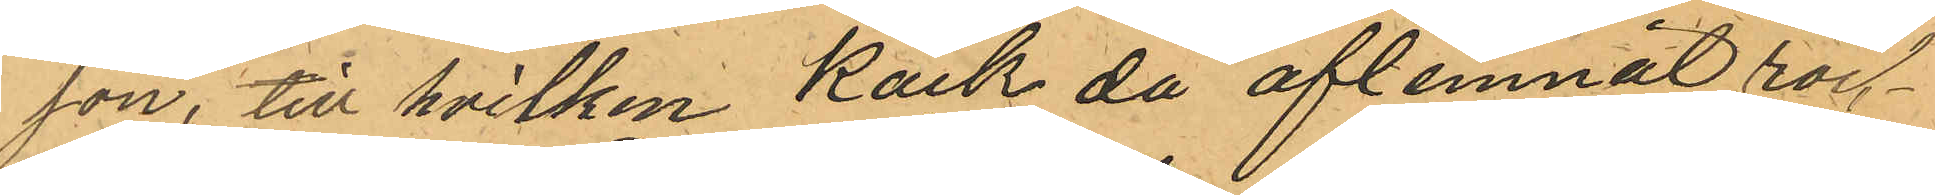son, till hvilken Käck då aflemnat rock¬
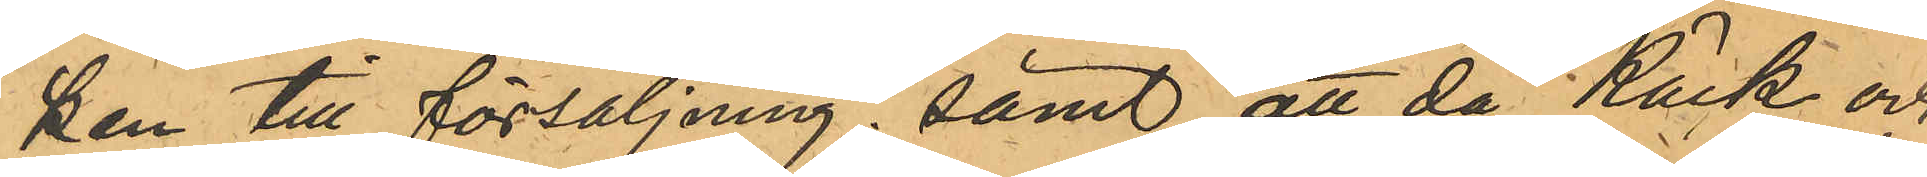ken till försäljning; samt att då Käck och
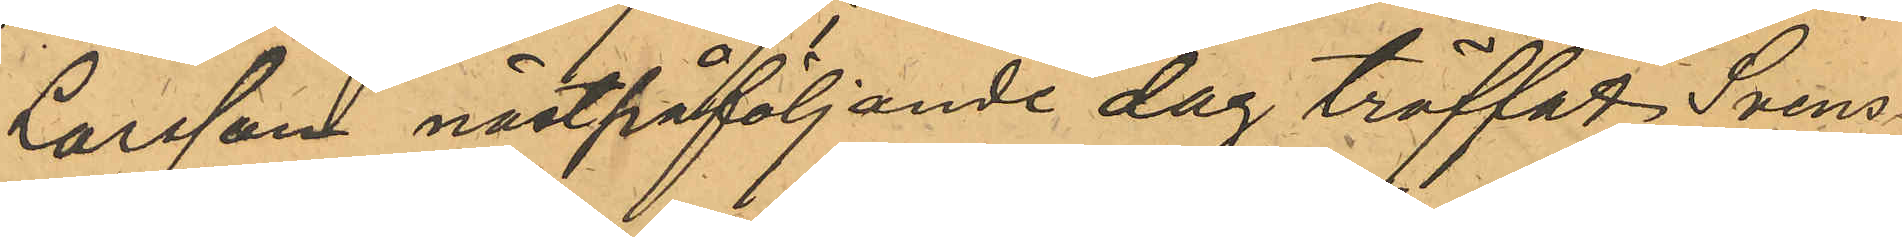Larsson nästpåföljande dag träffat Svens¬
